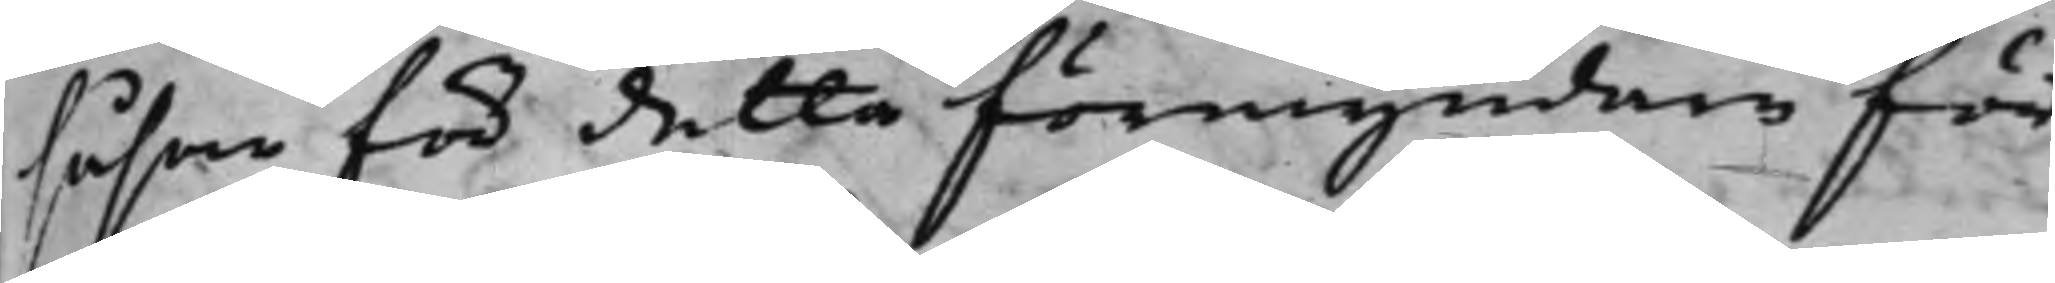såsom för detta förmyndare för
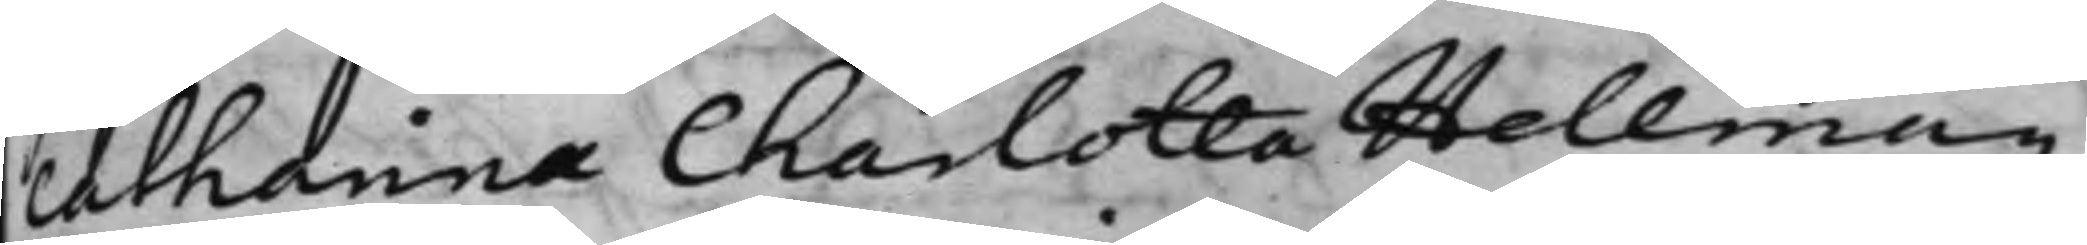Catharina Charlotta Hellman,
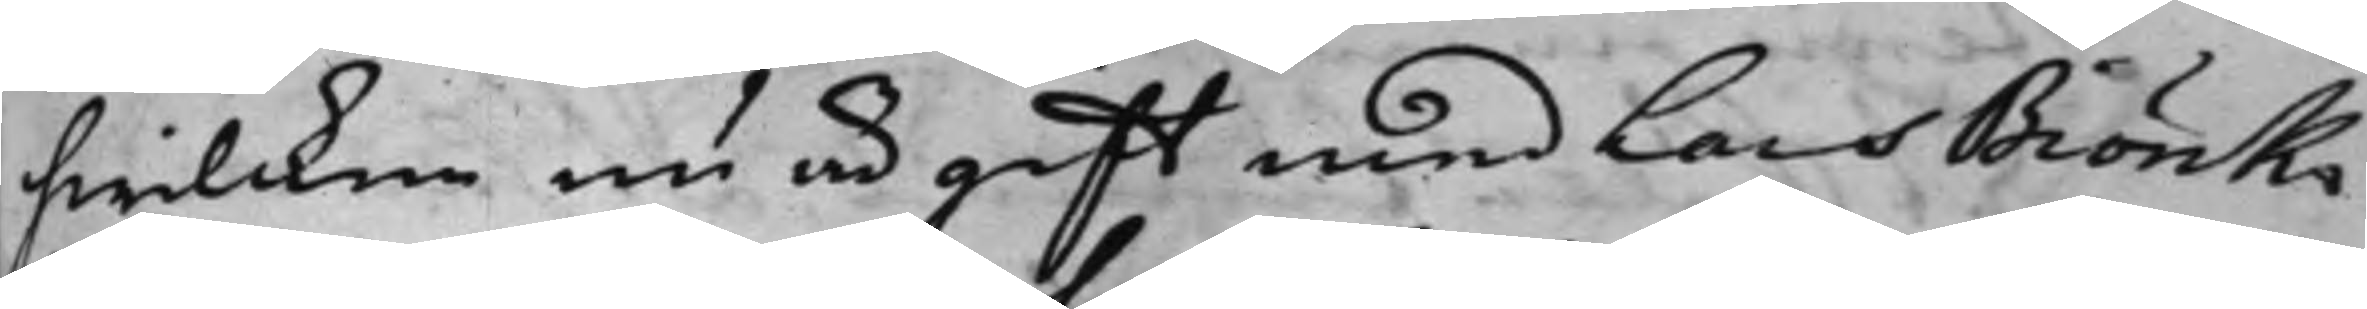hwilcken nu är gifft med Lars Biörk¬
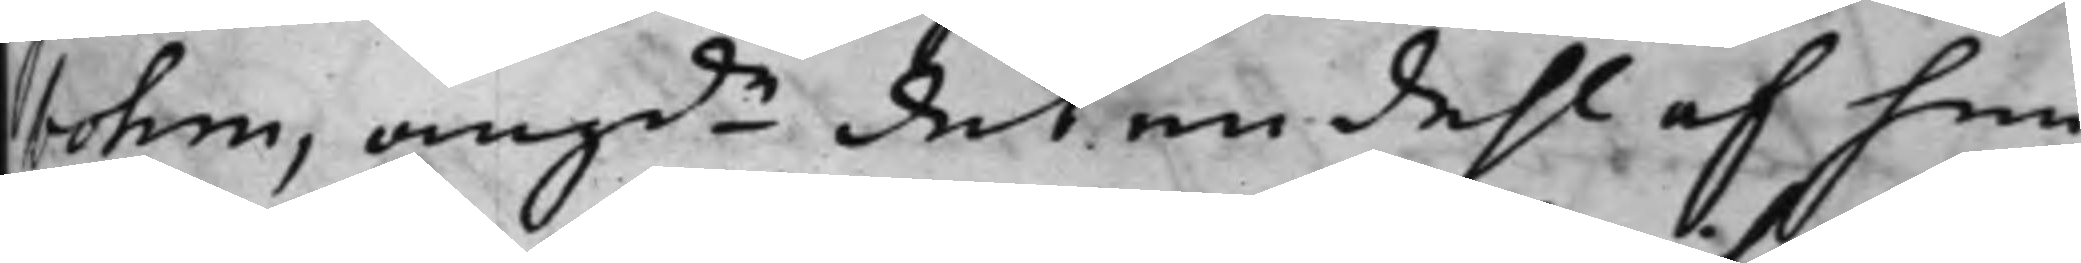bohm, angde det en dehl af hen¬
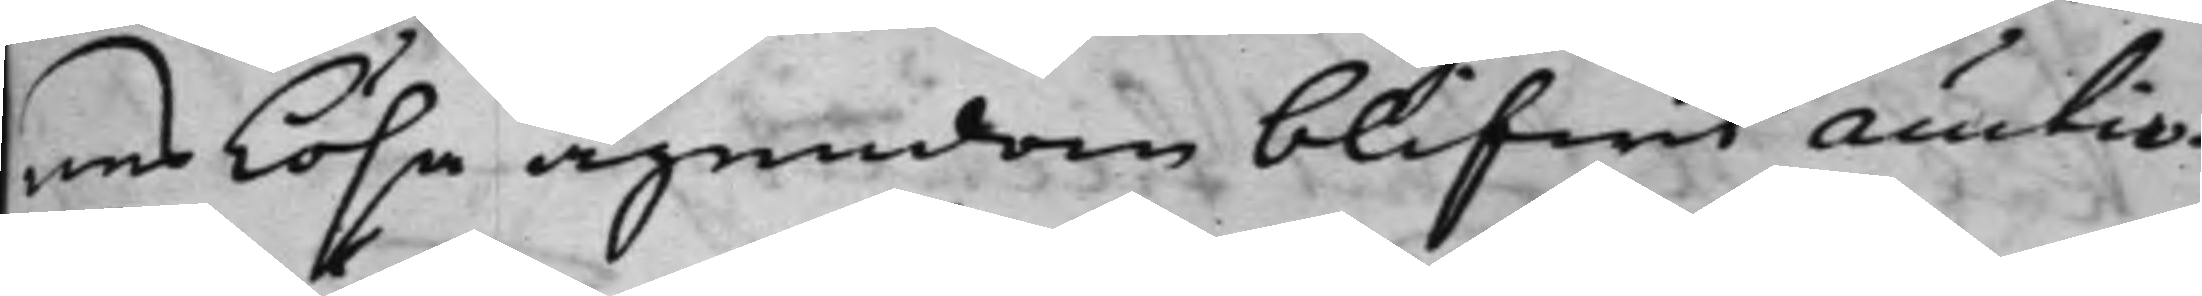nes Lösa ägendom blifwit auctio¬
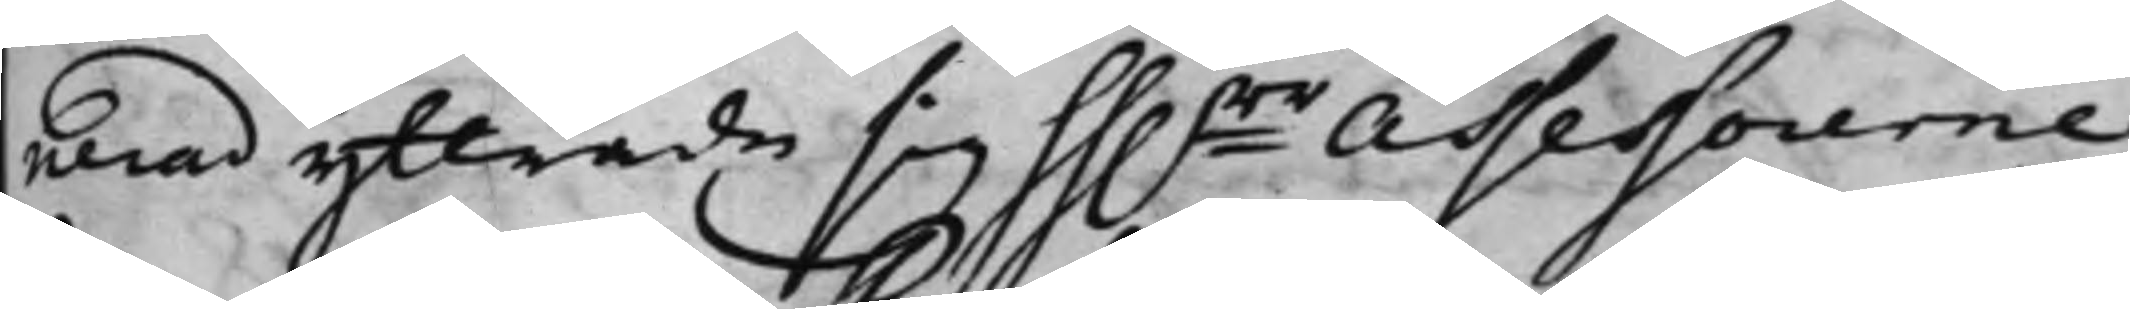nerad yttrade sig hh.rr Assessorerne
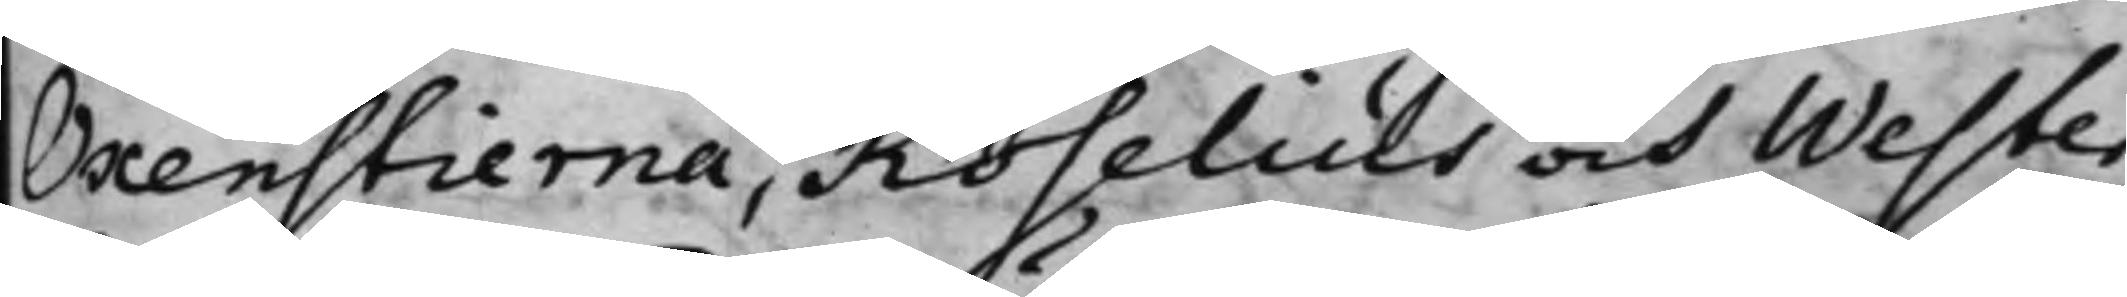Oxenstierna, Roselius och Wester
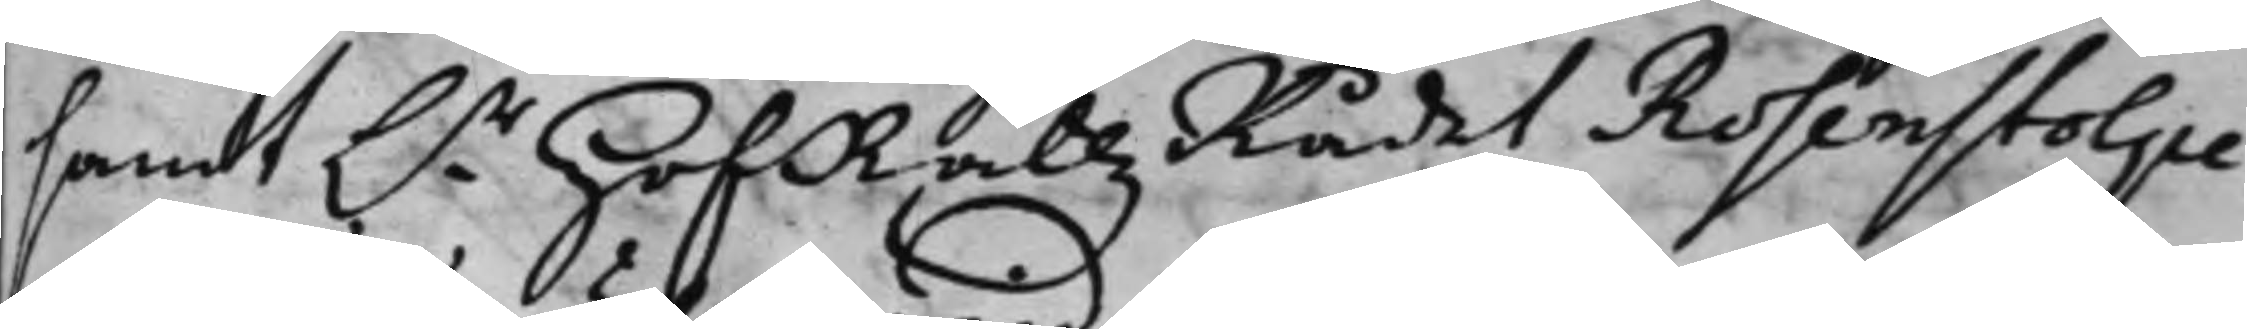samt h.r HofRättzRådet Rosenstolpe,
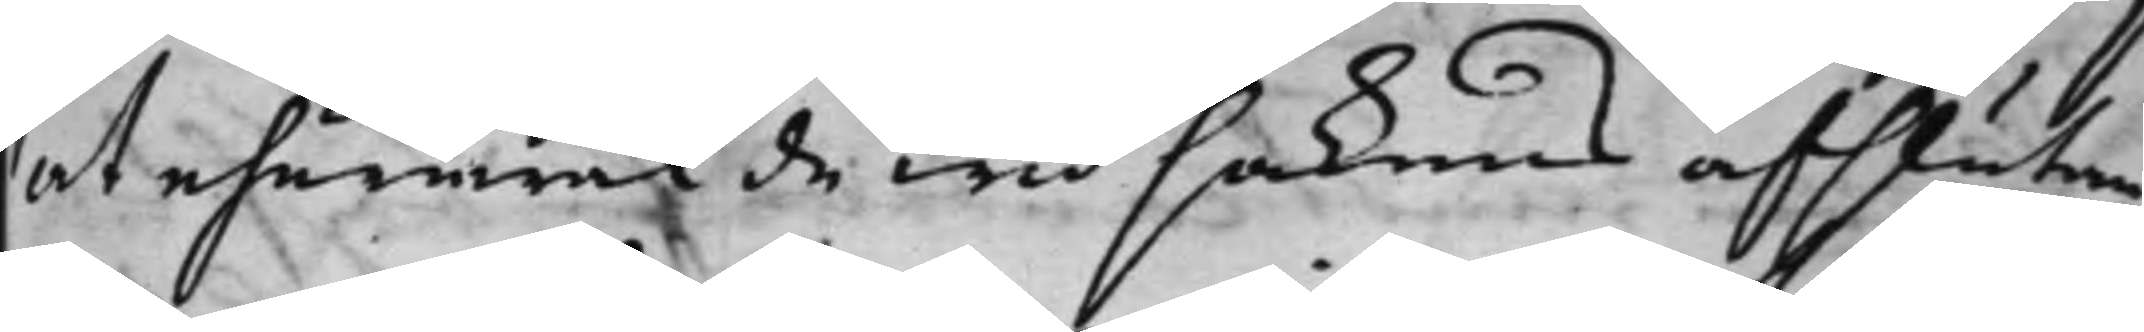at ehuruwäl de wid sakens afslutan¬
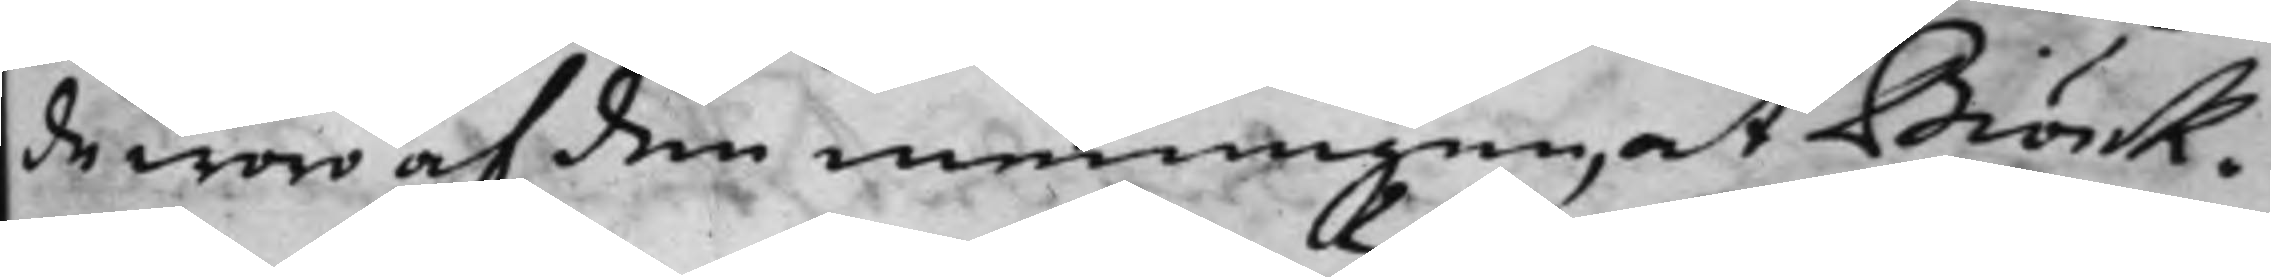de woro af den meningen, at Biörk¬
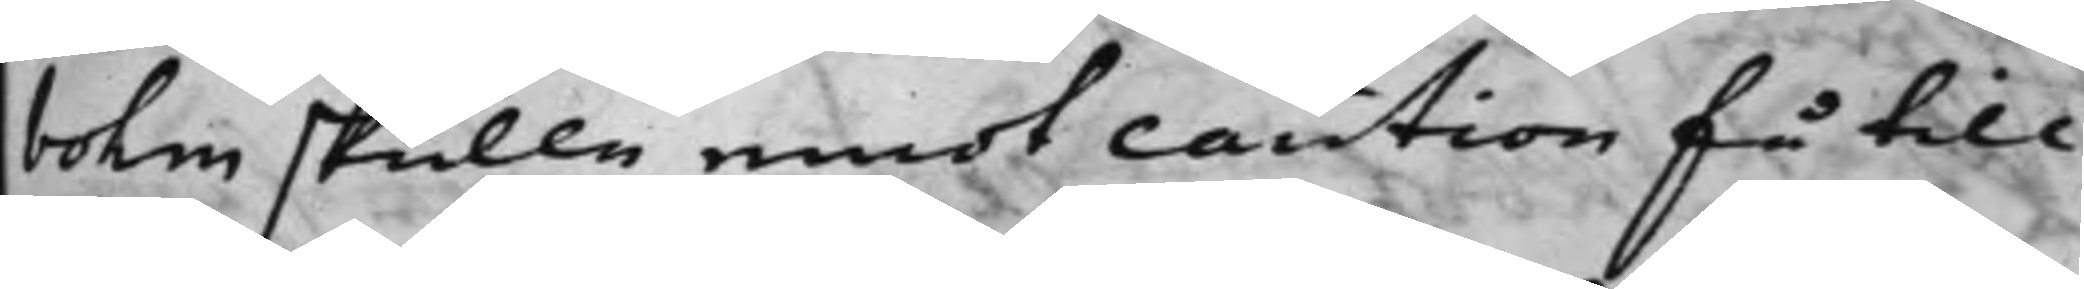bohm skulle emot caution få till¬
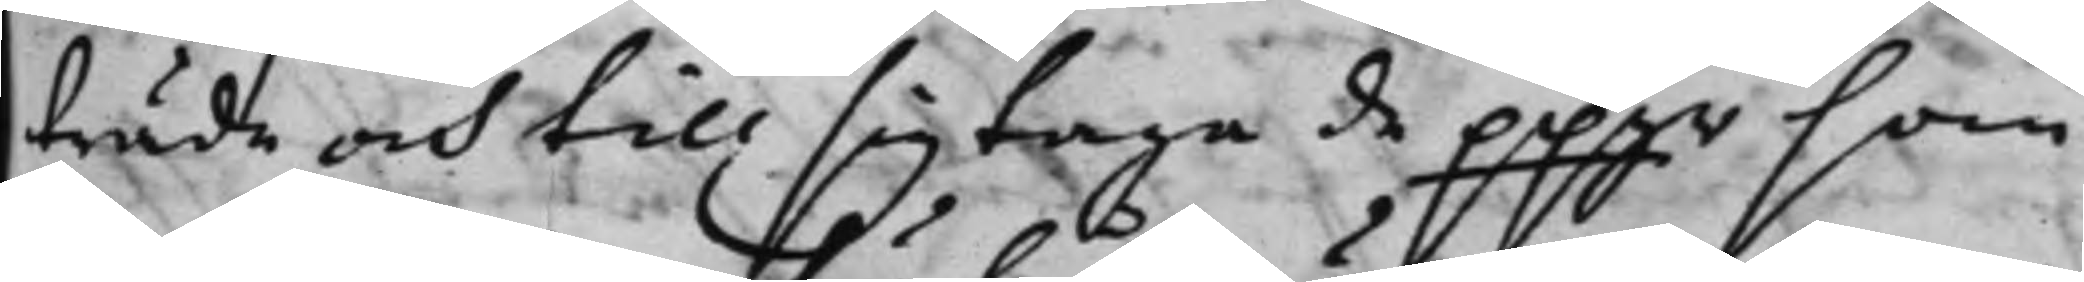träde och till sig taga de ppgr som
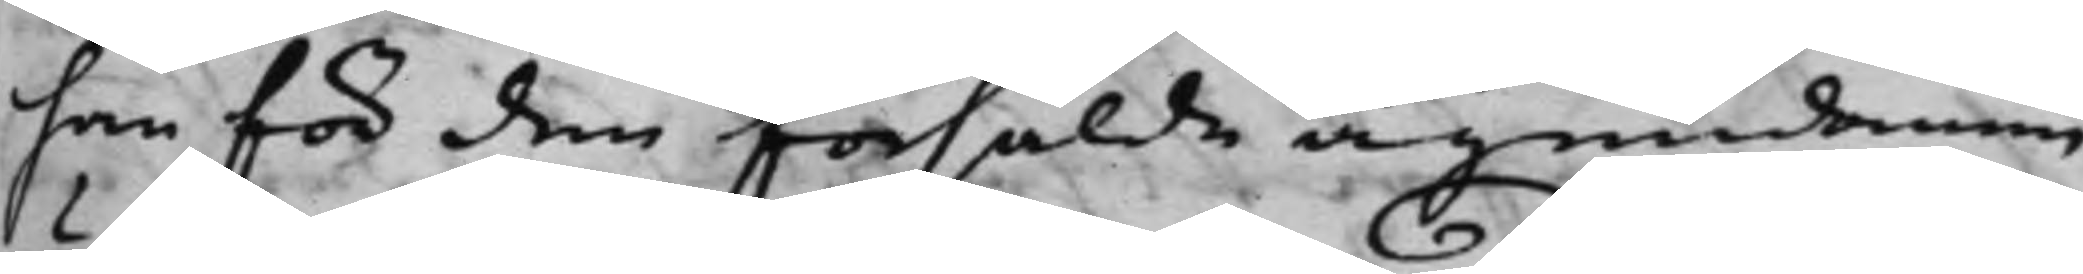han för den försålde ägendomen
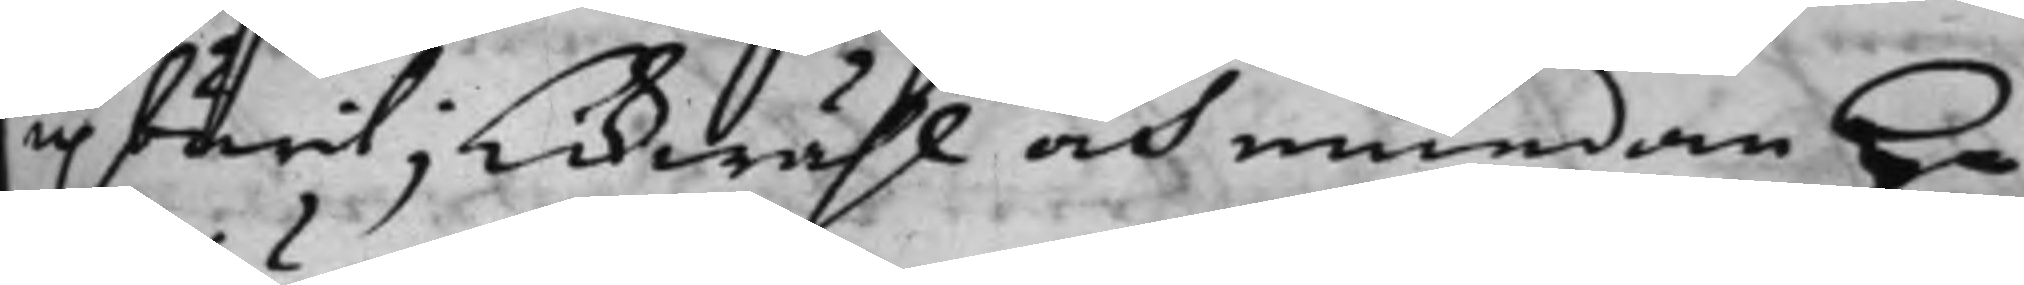upburit; Likwähl och emedan H.r
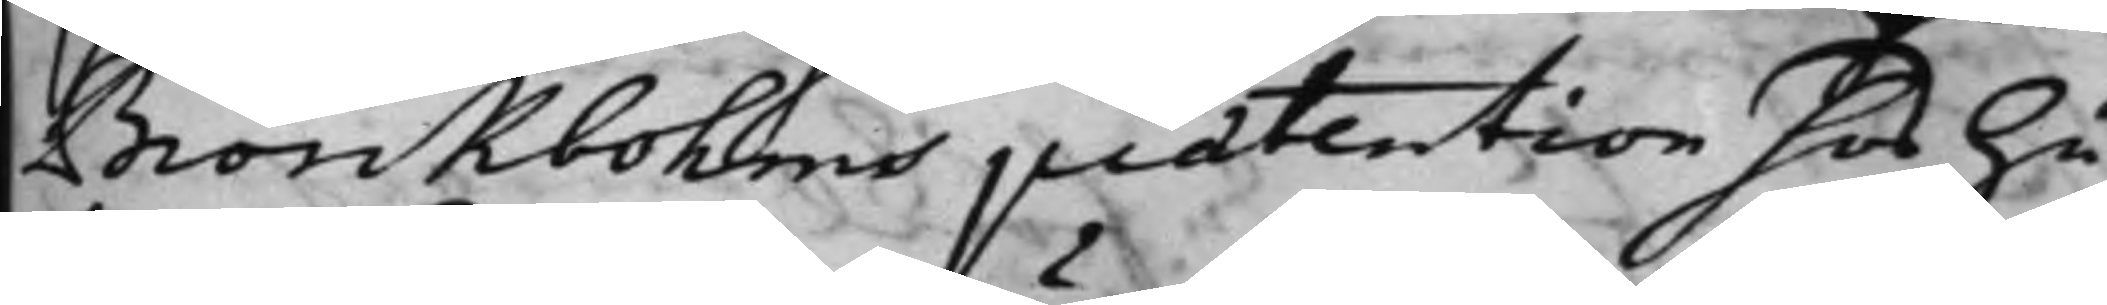Biörckbohms prætention hos hu¬
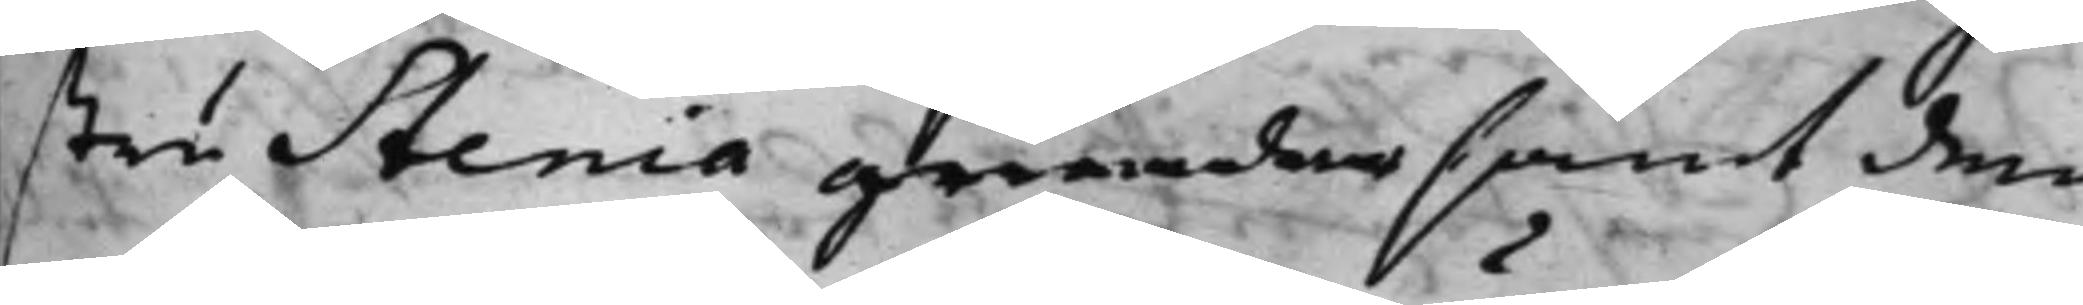stru Stenia grundar samt den
